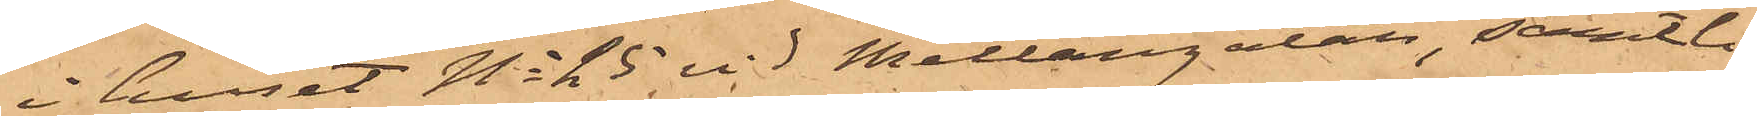i huset No 25 vid Mellangatan, samtli¬
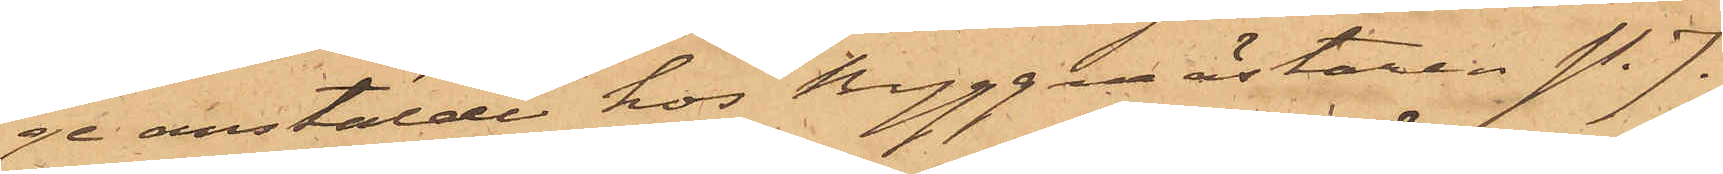ge anstälde hos Byggmästaren P. J.
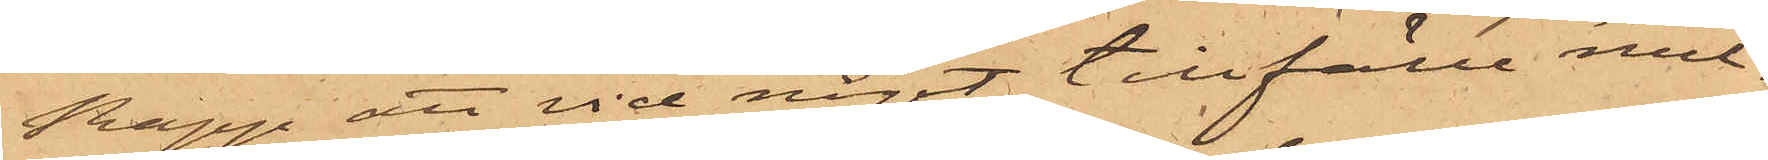Rapp, att vid något tillfälle mel¬
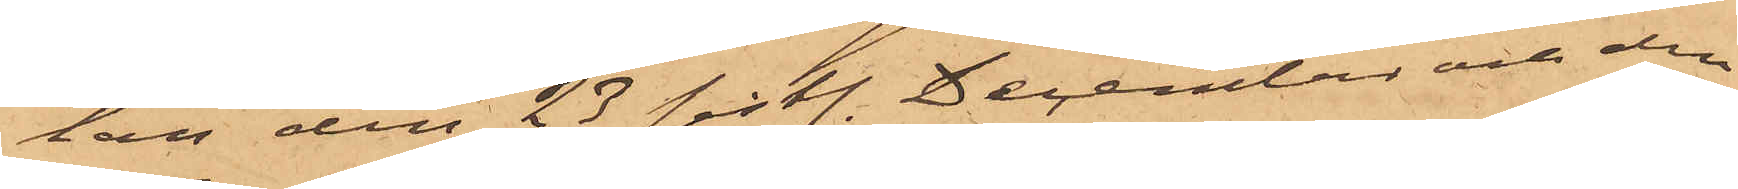lan den 23 sistl. December och den
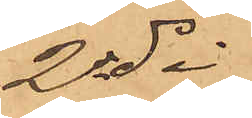2 ds.
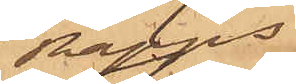Rapps
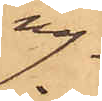ny¬
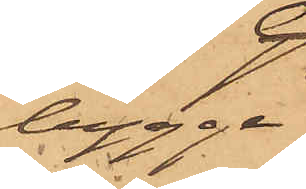bygge
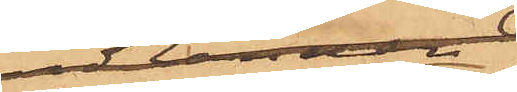i Packqvarteret
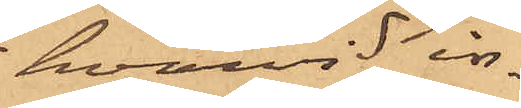hvarvid in¬
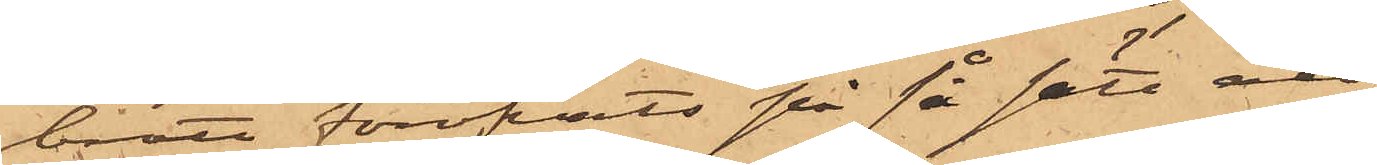brott föröfvats på så sätt att
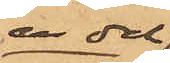en del
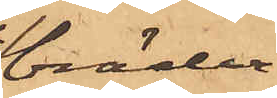bräder
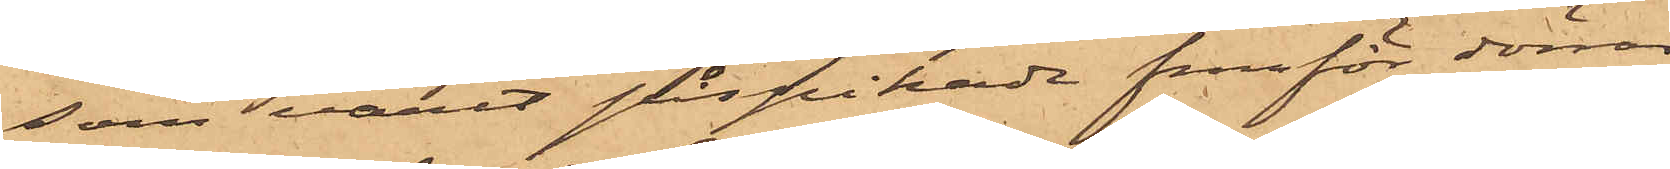som varit påspikade framför dörren
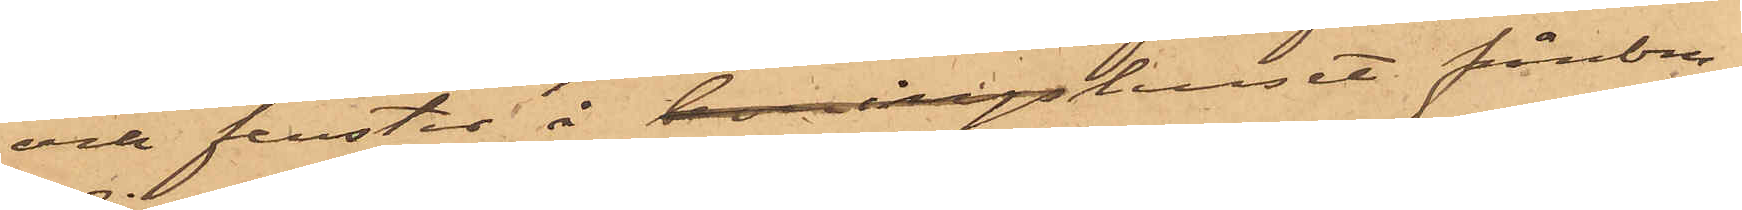och fenster i boningshuset frånbru¬
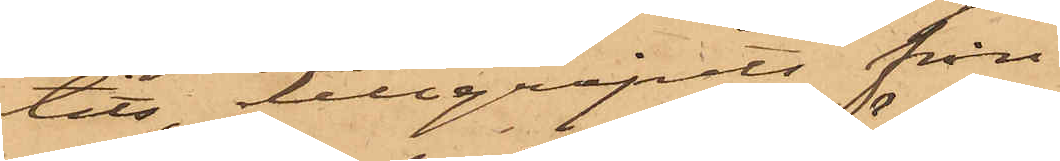tits, tillgripits från
